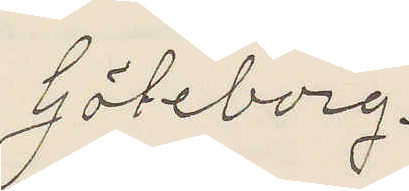Göteborg.
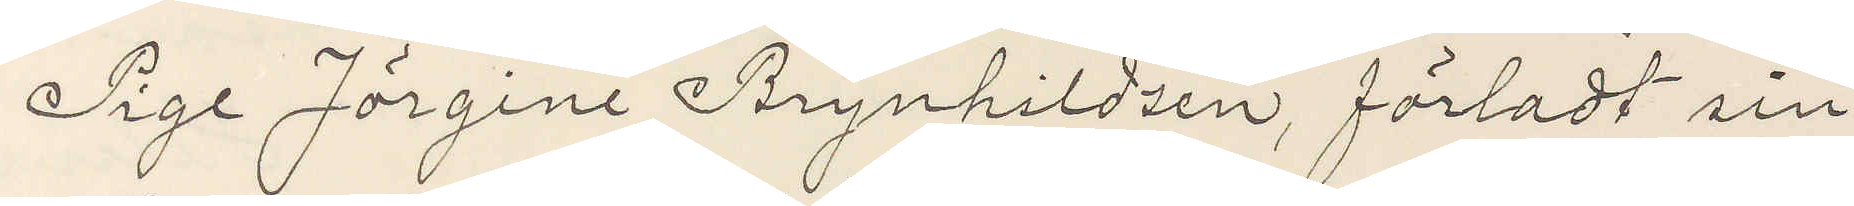Pige Jörgine Brynhildsen, förladt sin
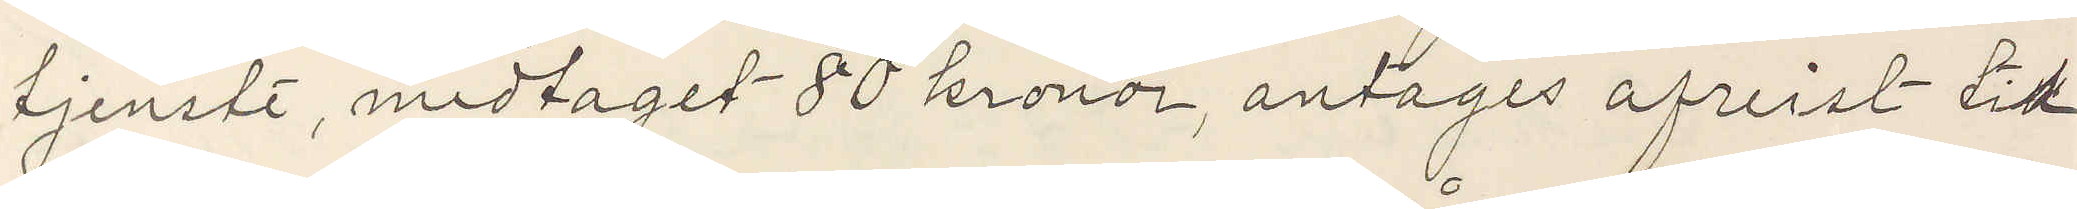tjenst, medtaget 80 kroner, antages afreist till
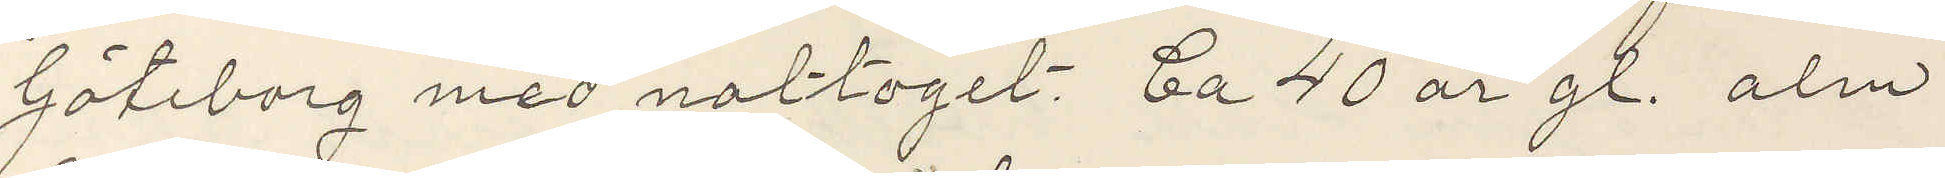Göteborg med nattoget. Ca 40 år gl. alm.
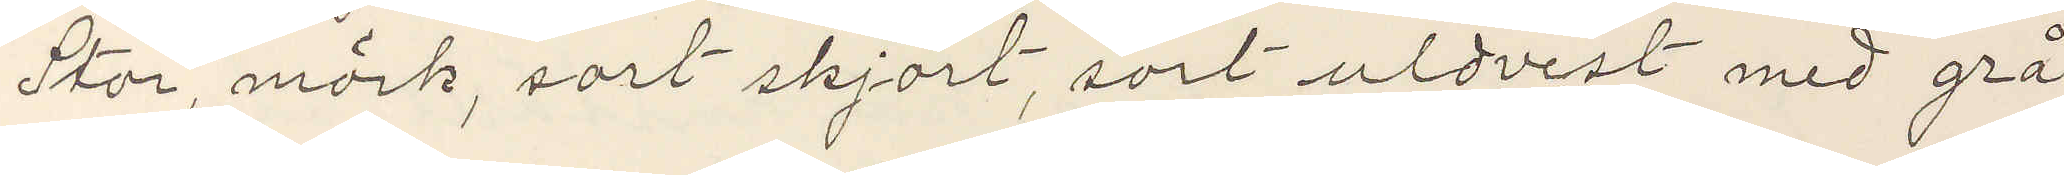Stor, mörk, sort skjört, sort uldvest med grå
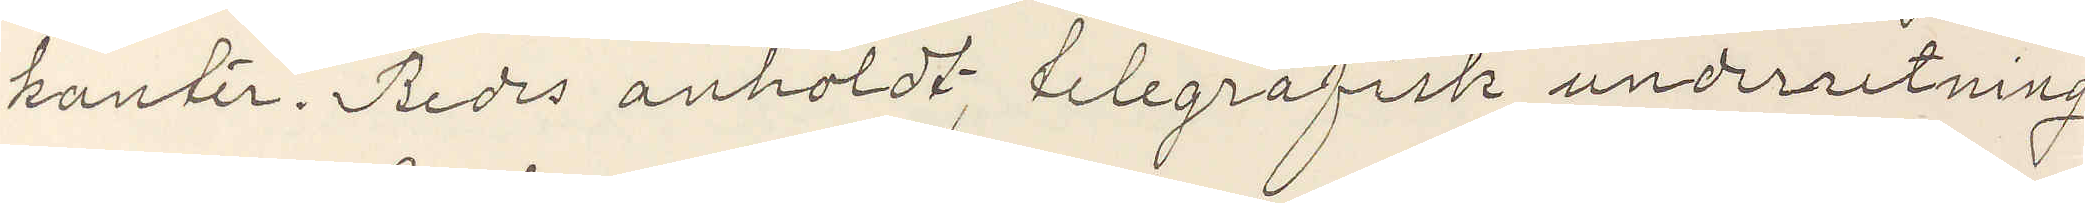kanter. Bedes anholdt, telegrafisk underretning
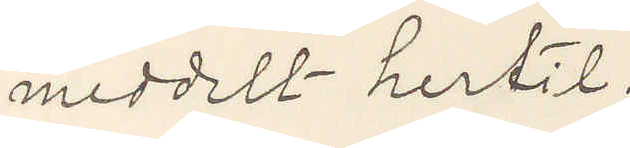meddelt hertil.
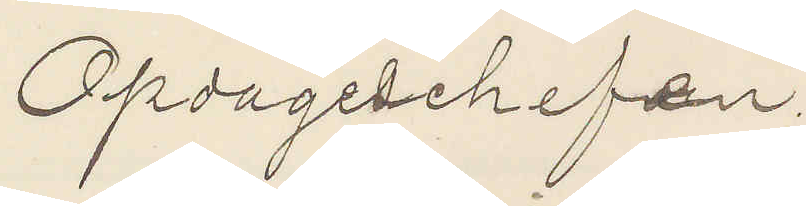Opdageschefen.
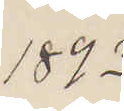1893
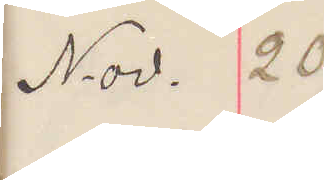Nov. 20
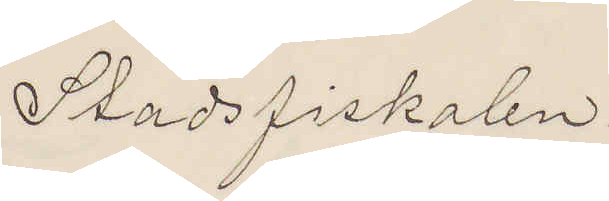Stadsfiskalen
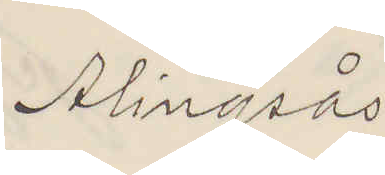Alingsås.
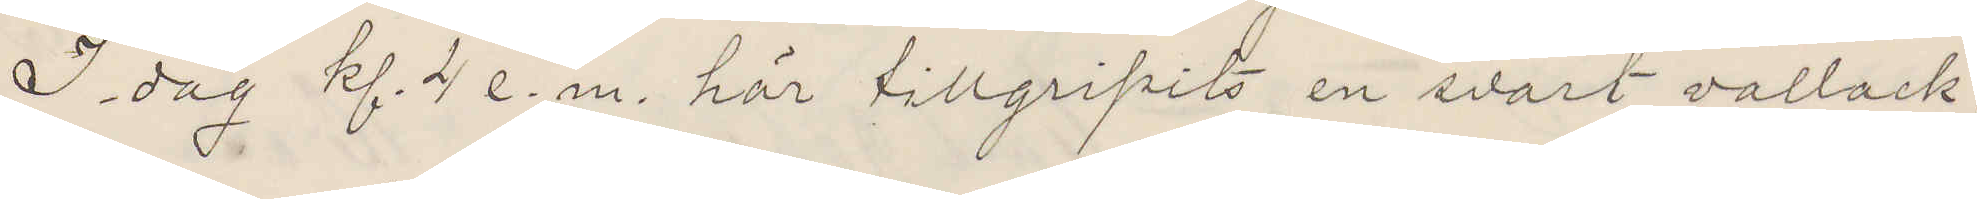I dag kl 4 e. m. här tillgripits en svart vallack,
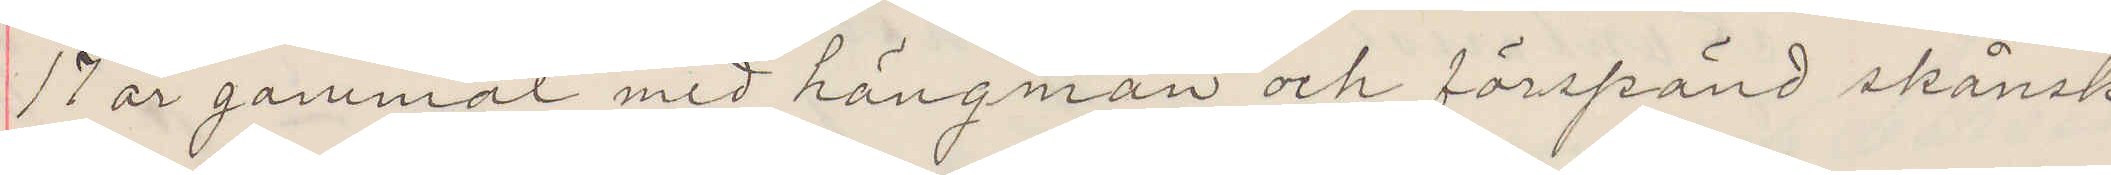17 år gammal med hängman och förspänd skånsk
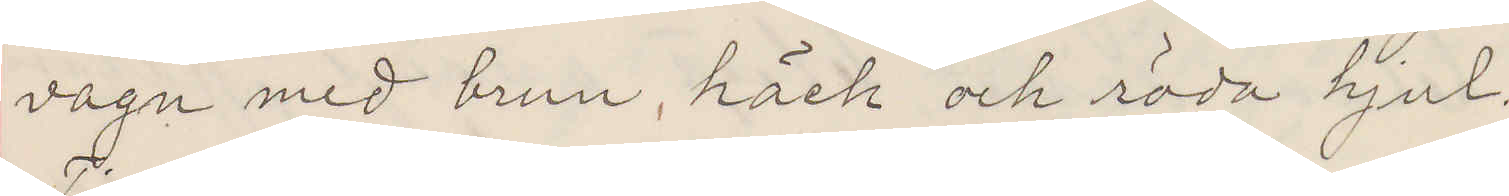vagn med brun, häck och röda hjul.
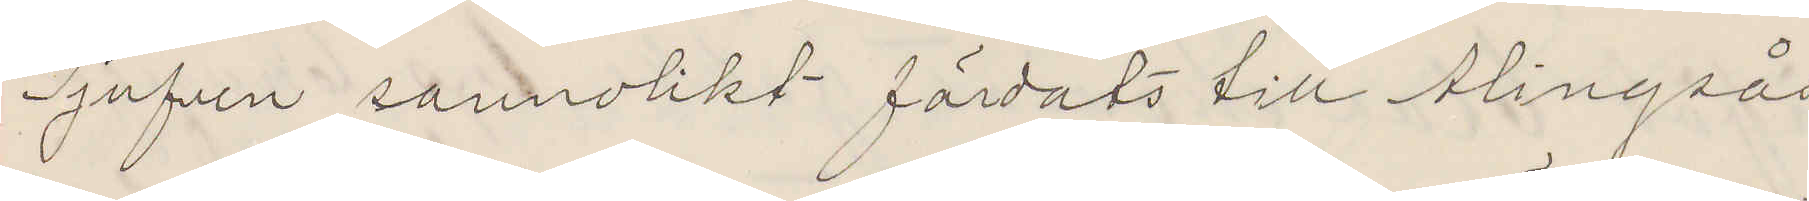Tjufven sannolikt färdats till Alingsås
